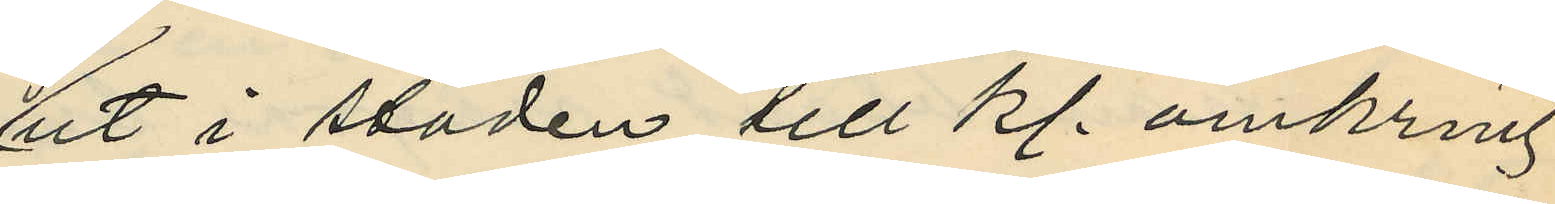ut i staden till kl. omkring
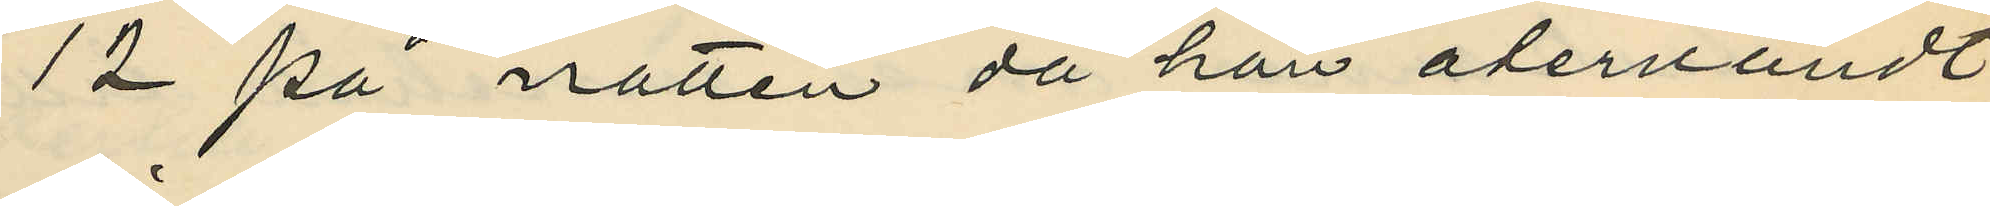12 på natten då han återvändt
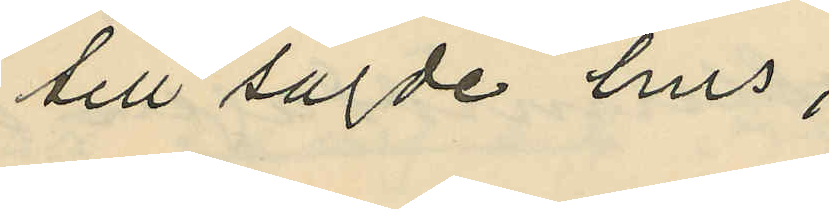till sagde hus;
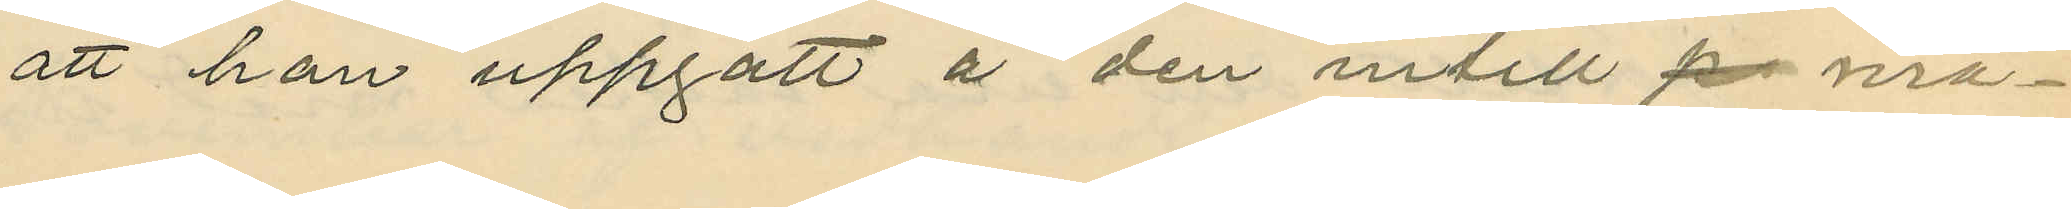att han uppgått å den intill p ma¬
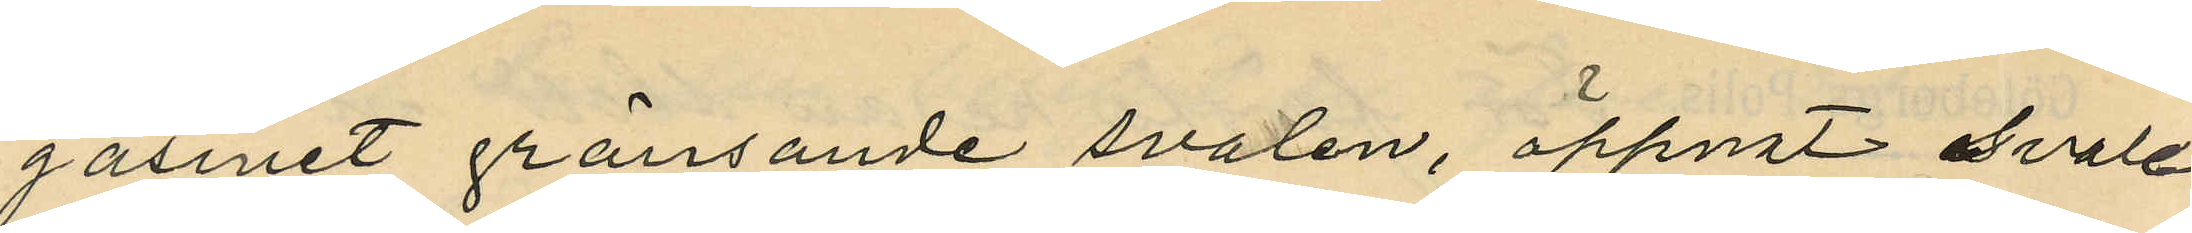gasinet gränsande svalen, öppnat svale¬
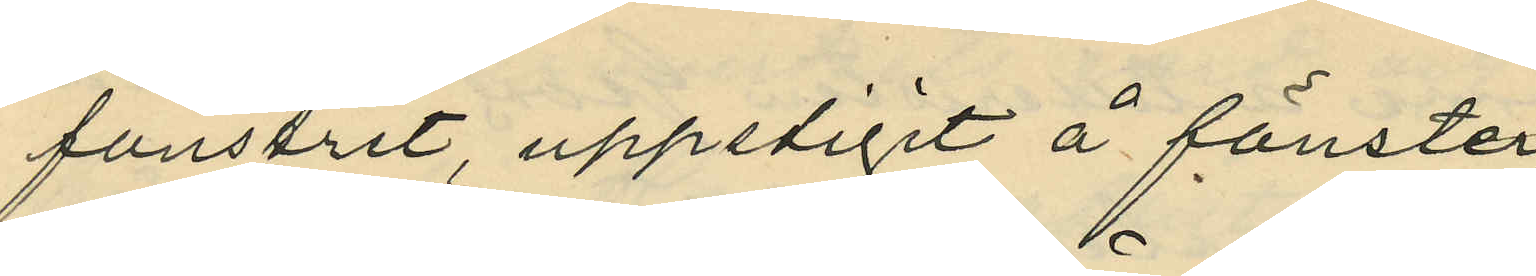fönstret, uppstigit å fönster¬
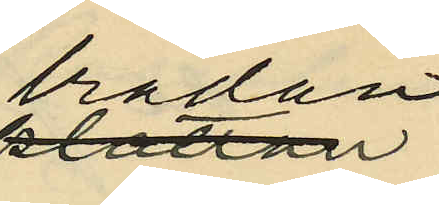brädan
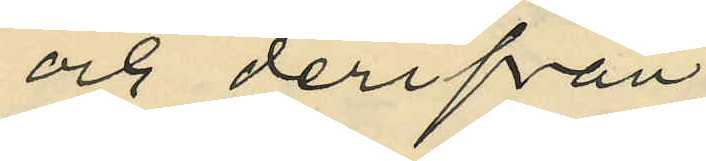och derifrån
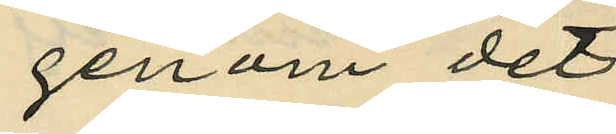genom det
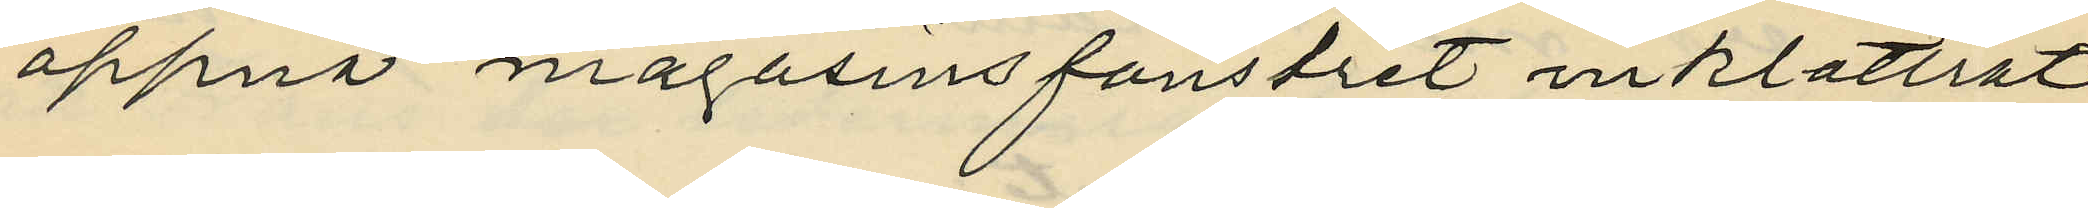öppna magasinsfönstret inklättrat
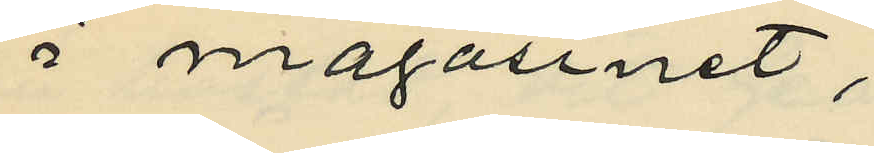i magasinet;
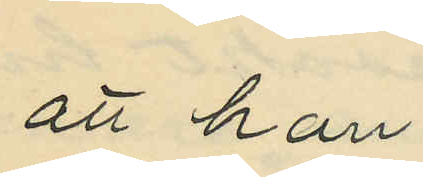att han
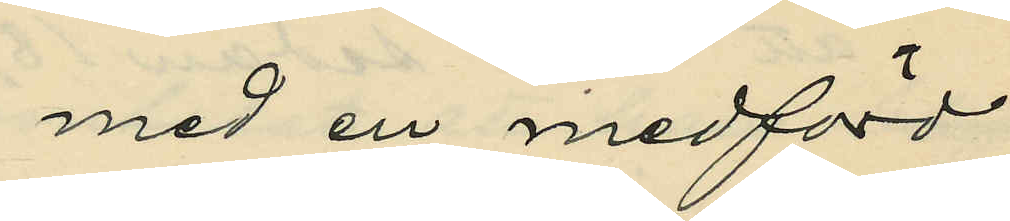med en medförd
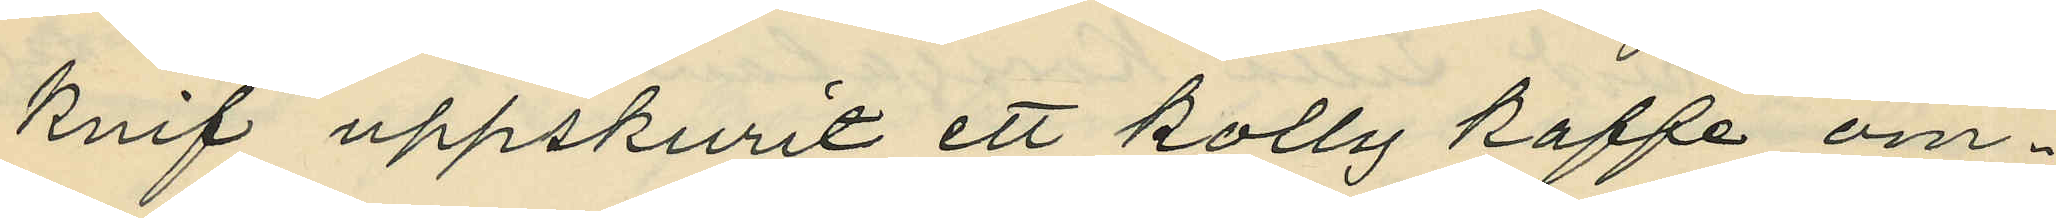knif uppskurit ett kolly kaffe om¬
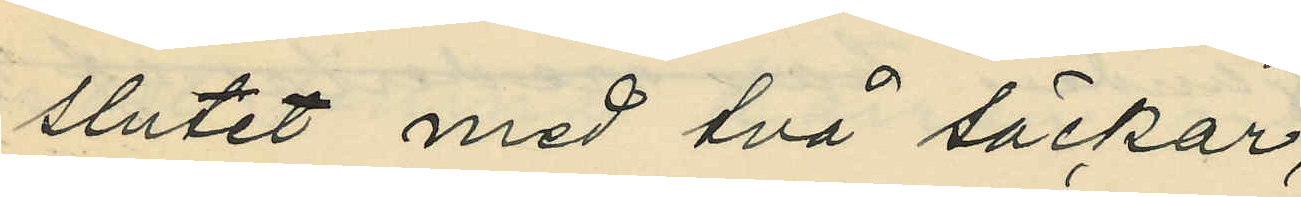slutet med två säckar,
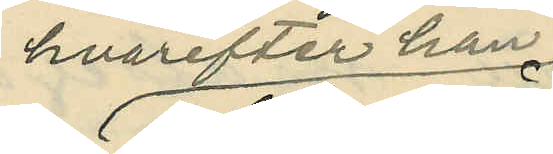hvarefter han
